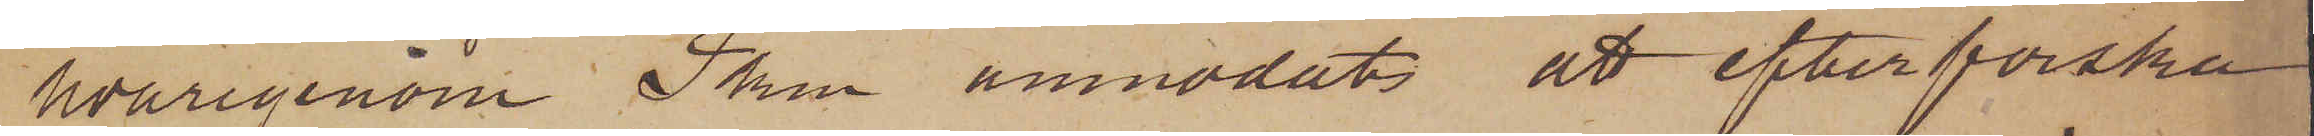hvarigenom Pkm anmodat att efterforska
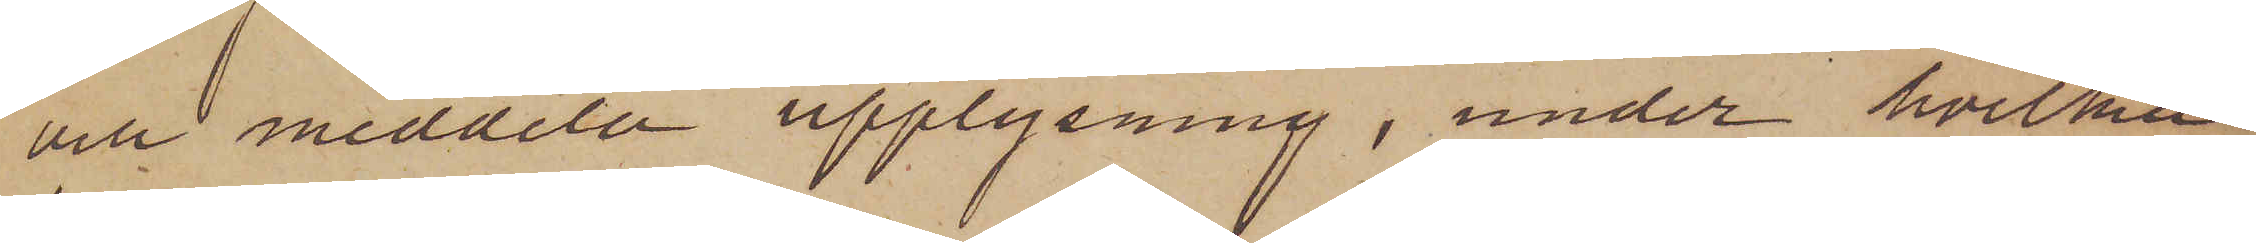och meddela upplysning, under hvilka
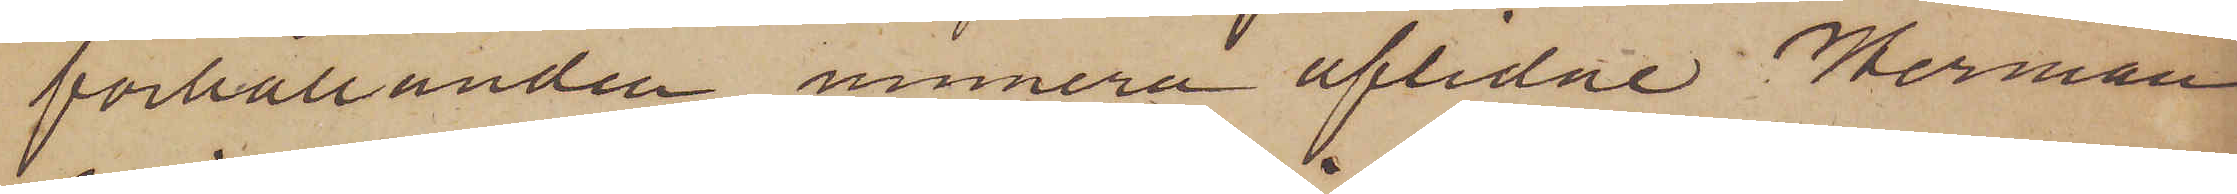förhållanden numera aflidne Herman
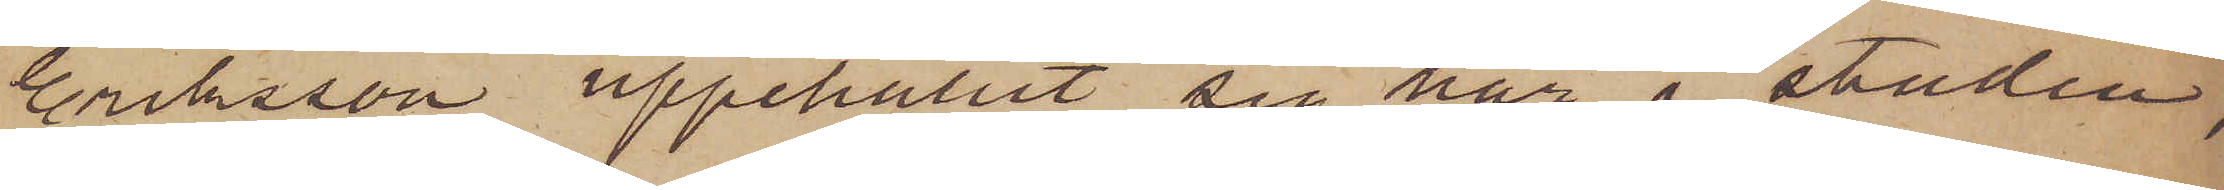Eriksson uppehållit sig här i staden,
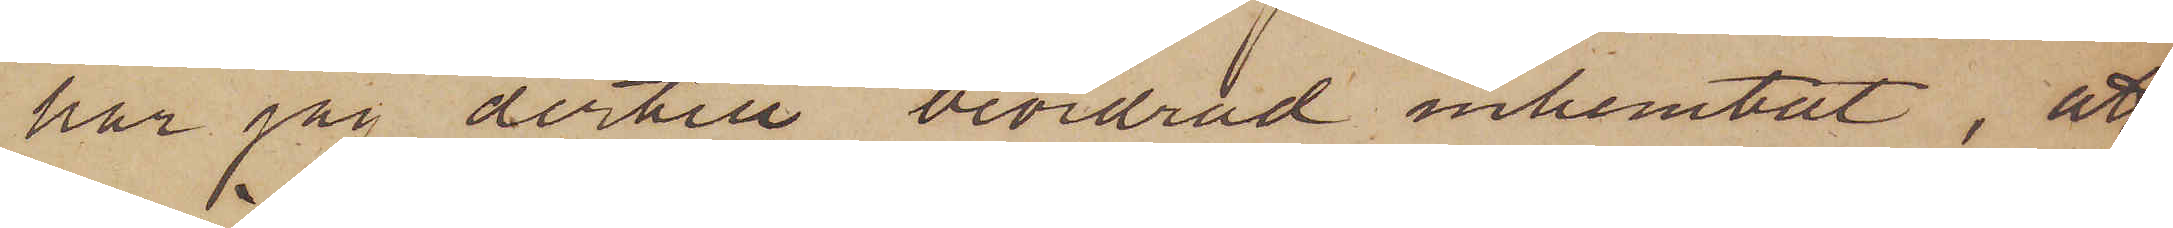har jag dertill beordrad inhemtat, att
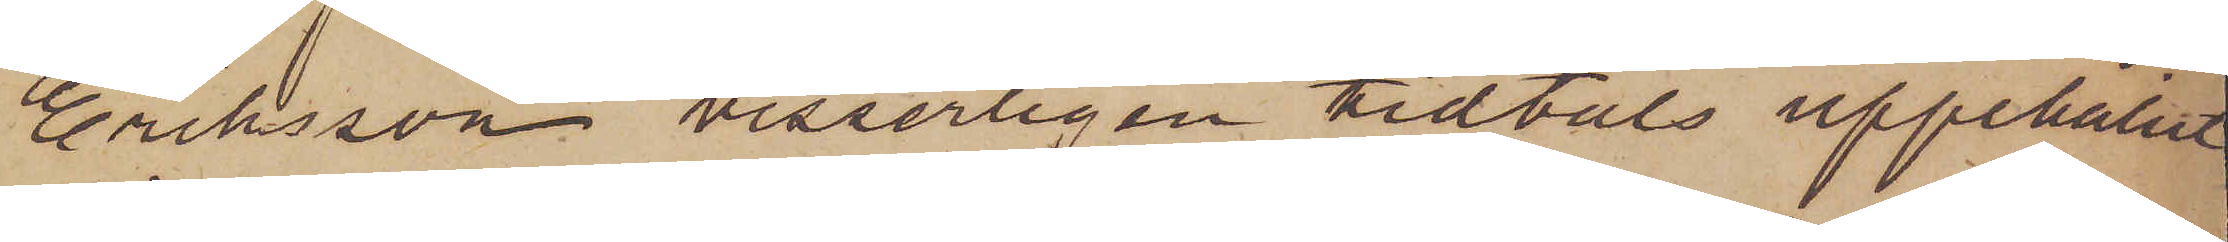Eriksson visserligen tidtals uppehållit
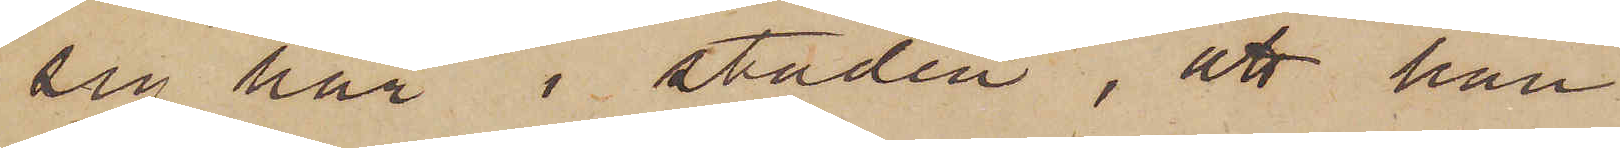sig här i staden, att han
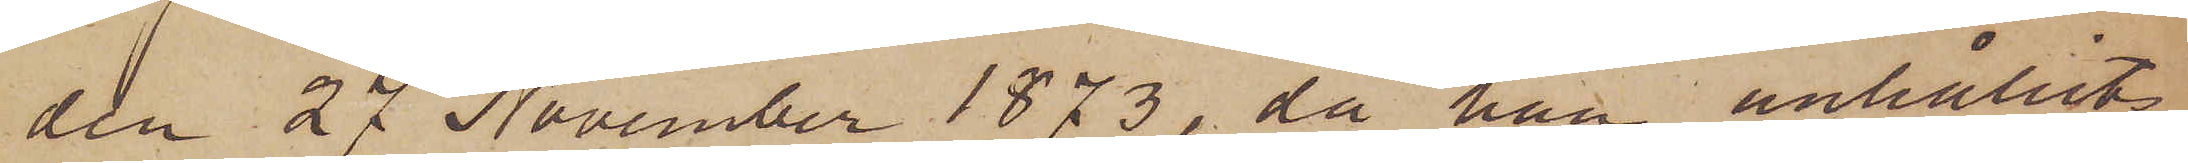den 27 November 1873, då han anhållits
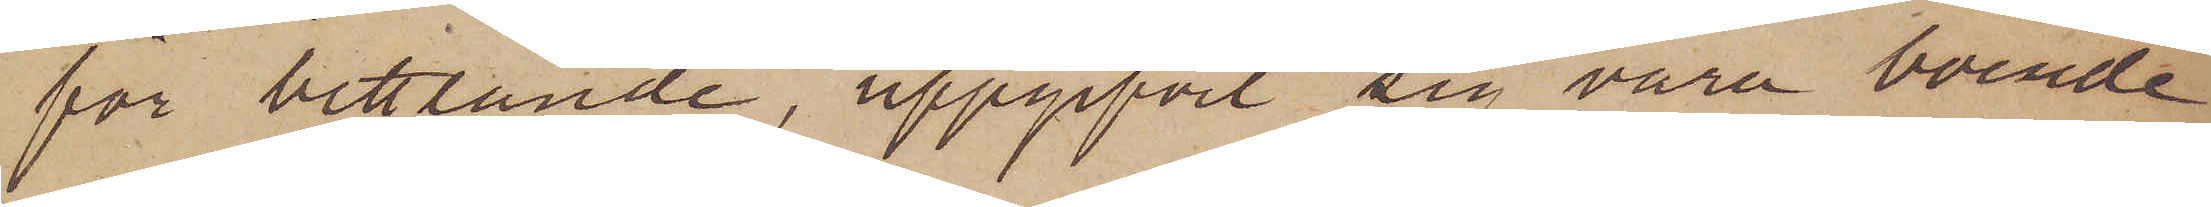för bettlande, uppgifvit sig vara boende
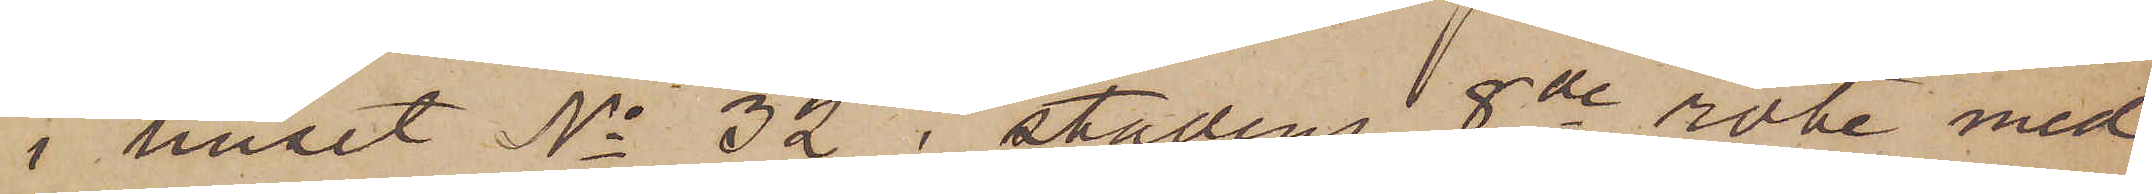i huset No 32 i stadens 8de rote med
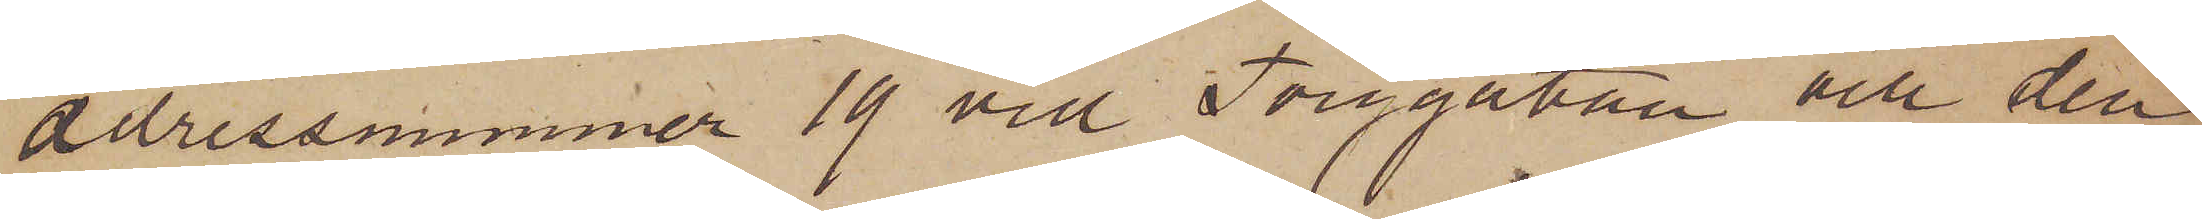adressnummer 19 vid Torggatan och den
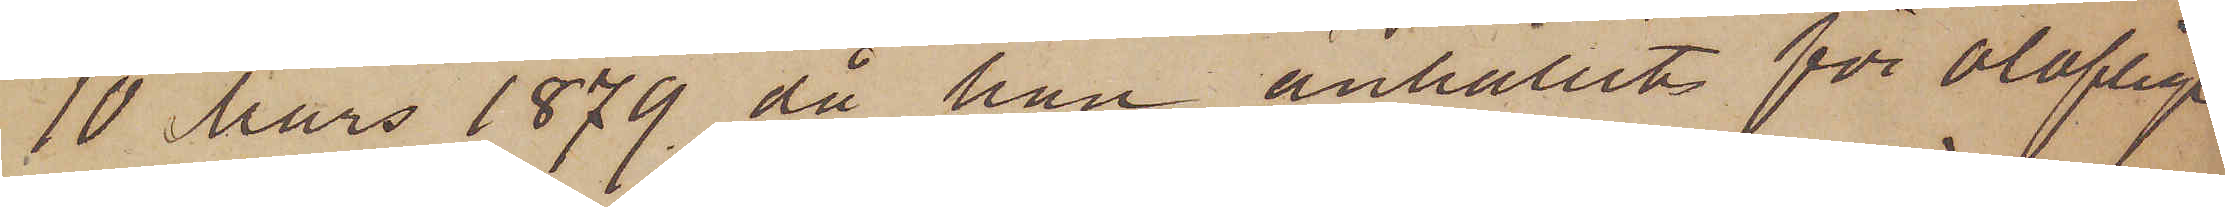10 Mars 1879, då han anhållit för olofligt
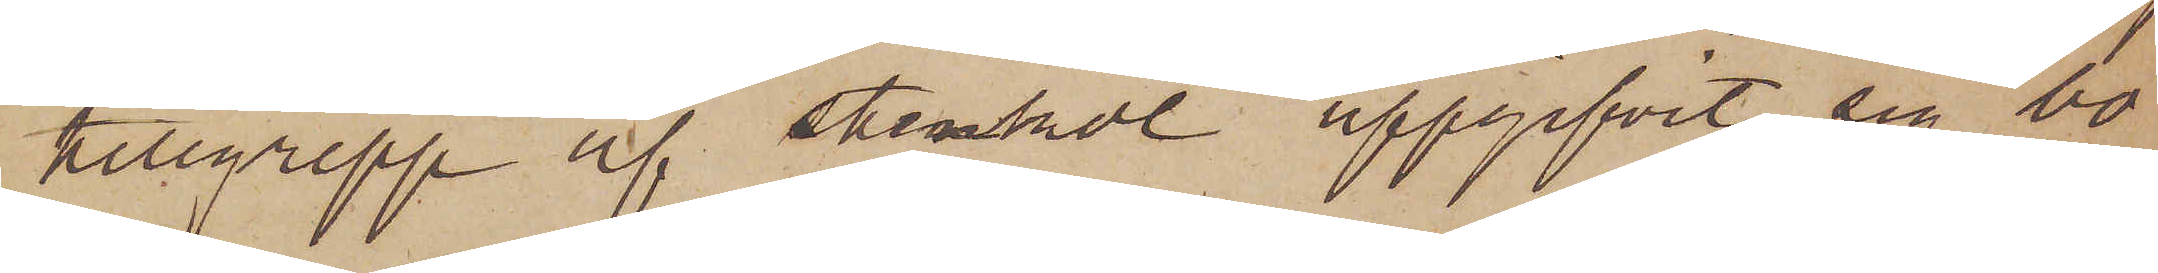tillgrepp af stenkol uppgifvit sig bo
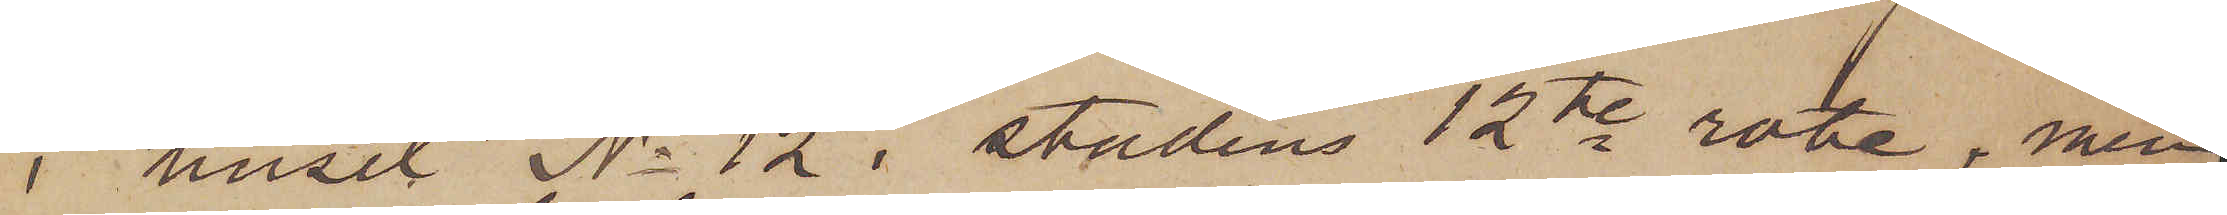i huset No 12 i stadens 12te rote, men
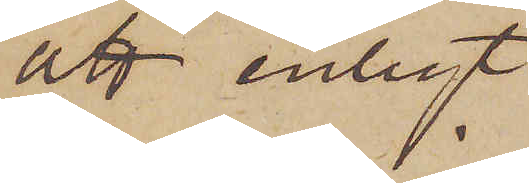att enligt
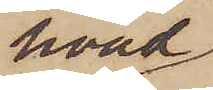hvad
